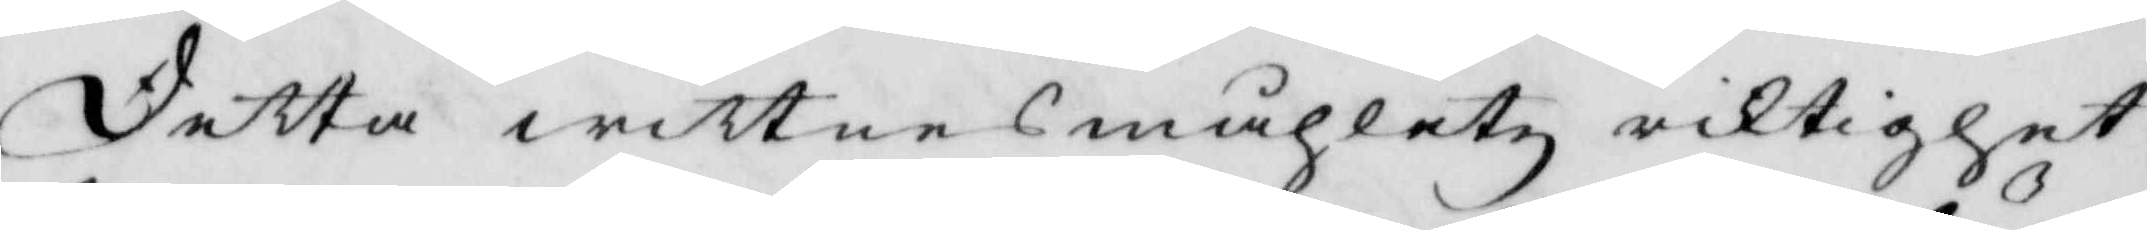Detta wittnesmåhletz riktighet
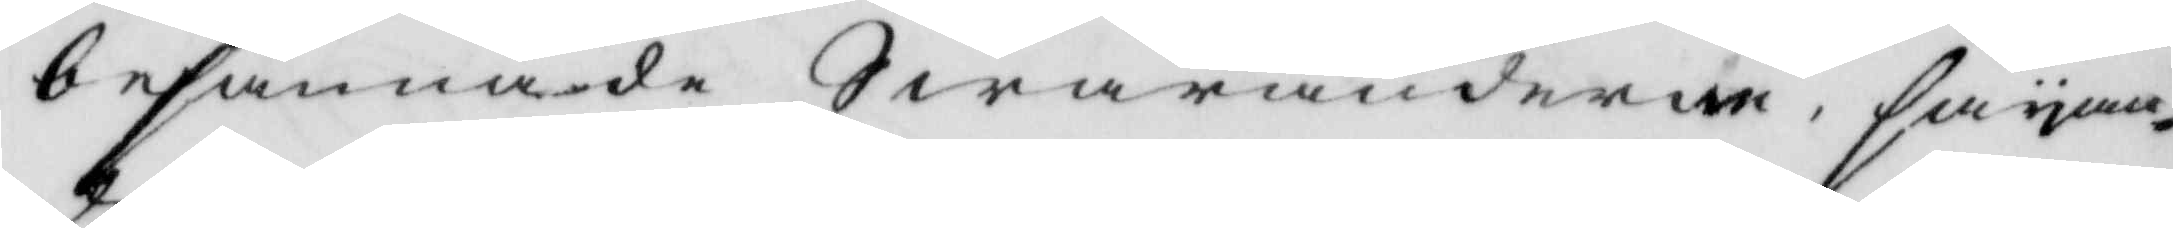besannade Swaranderne, säyan¬
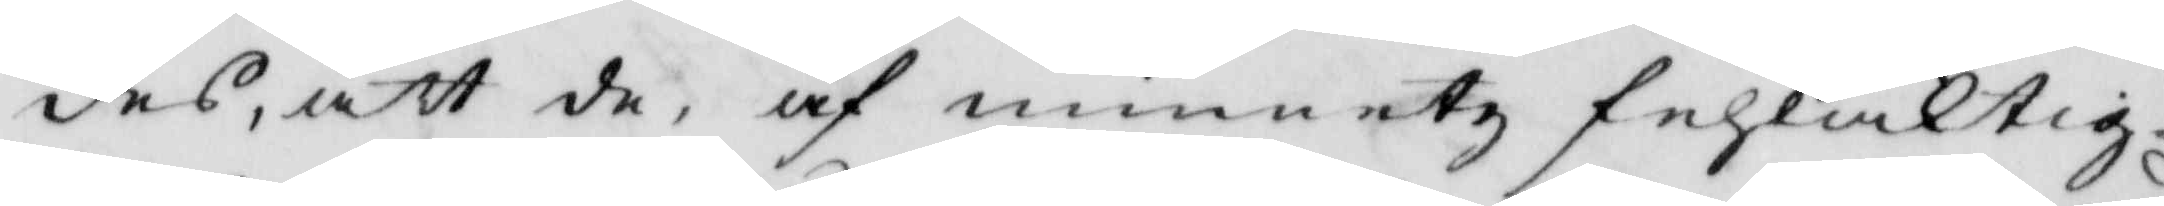des, att de, af minnetz fehlachtig¬
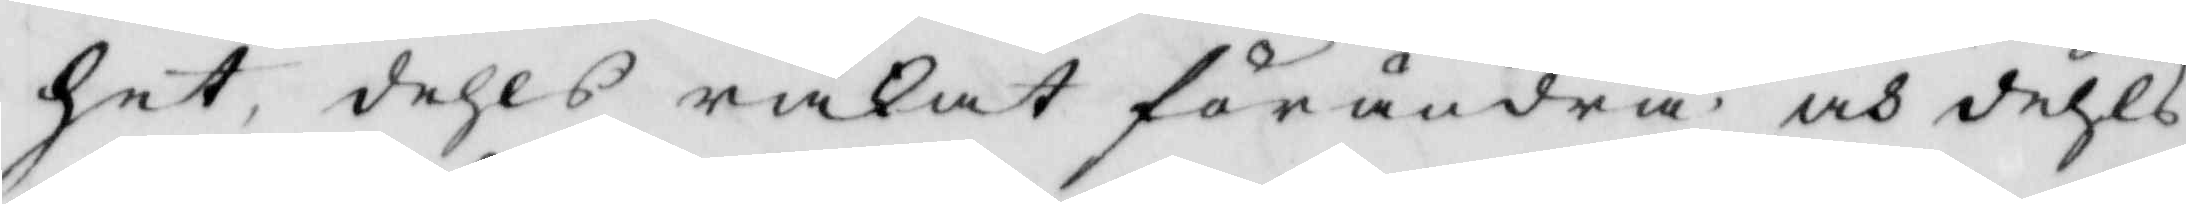het, dehls råkat förändra, och dehls
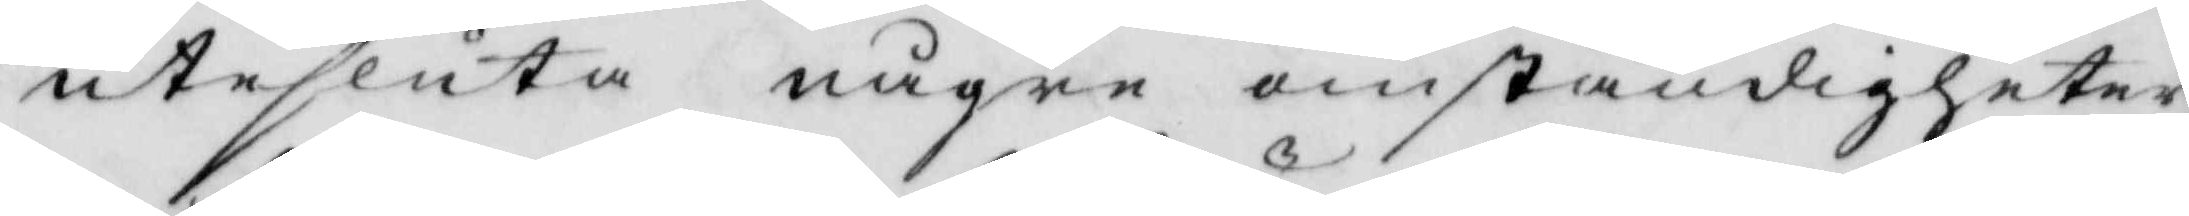utesluta någre omständigheter,
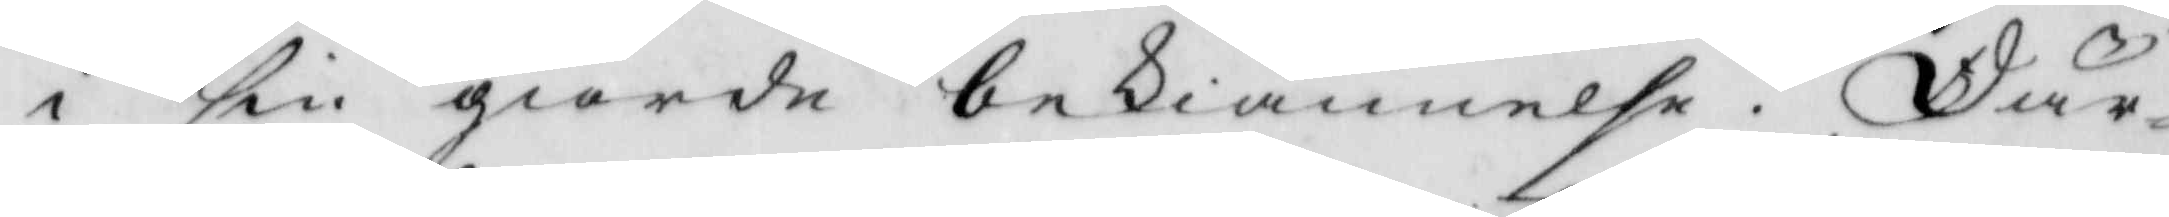i sin giorde bekiännelse. Där¬
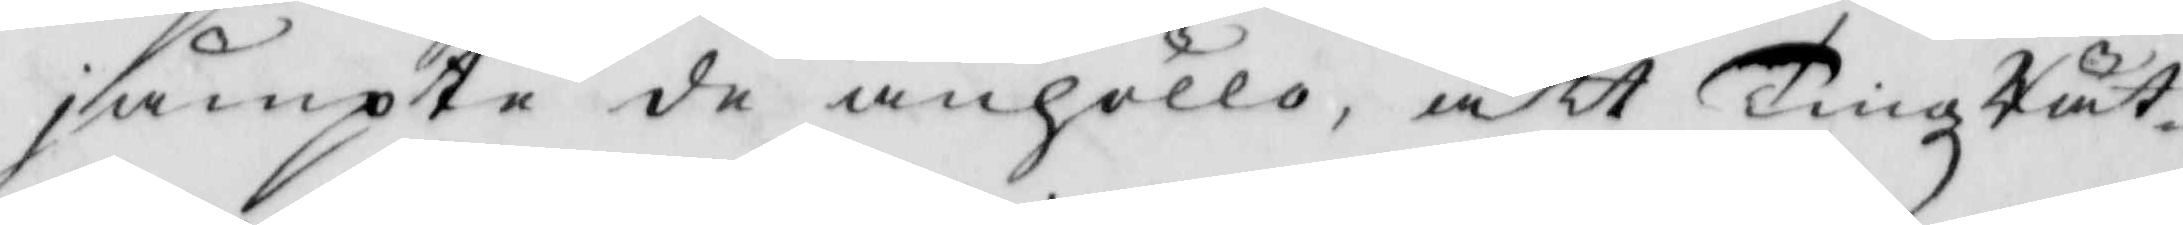jämpte de anhöllo, att TingzRät¬
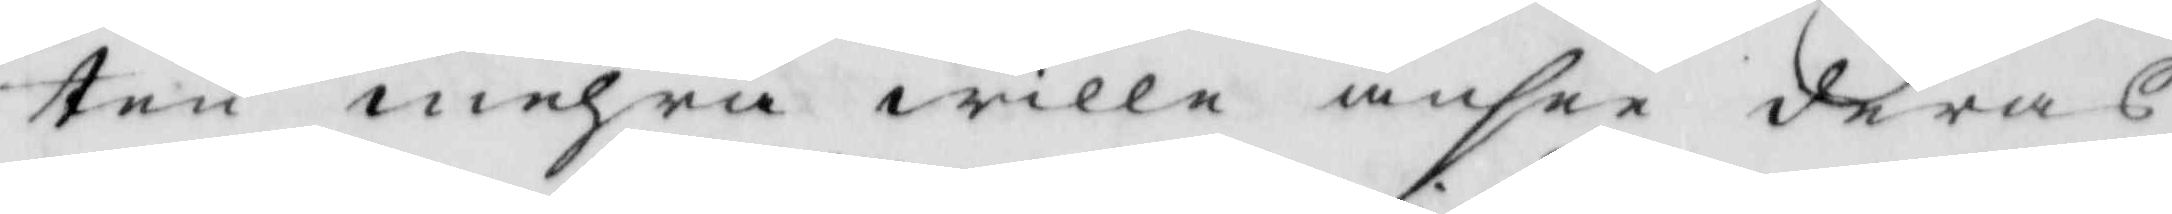ten mehra wille ansee deras
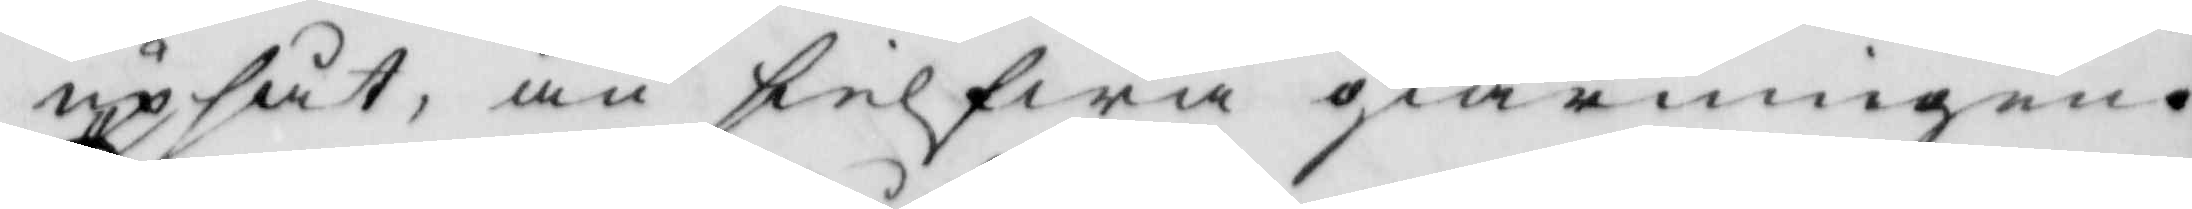upsåt, än sielfwa giärningen.
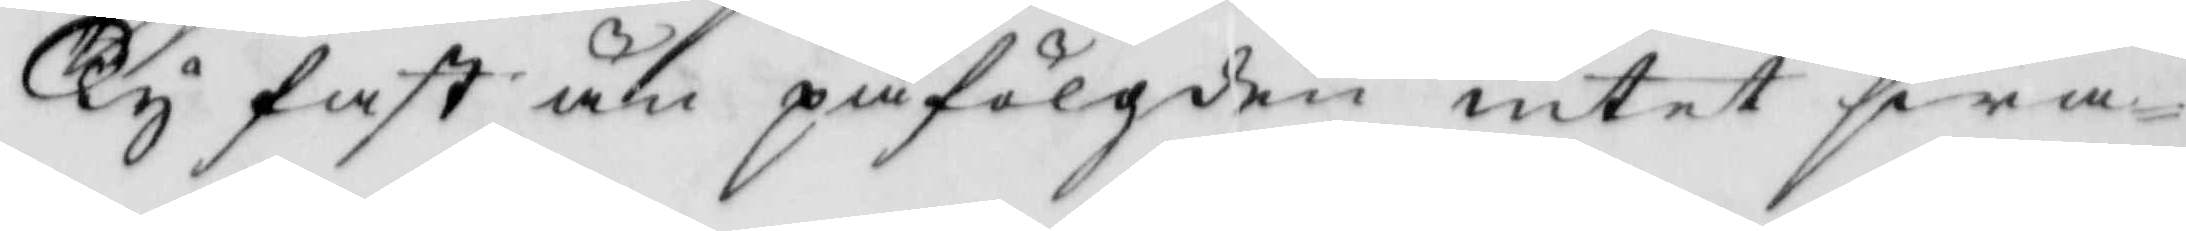Ty fast än påfölgden intet fra¬
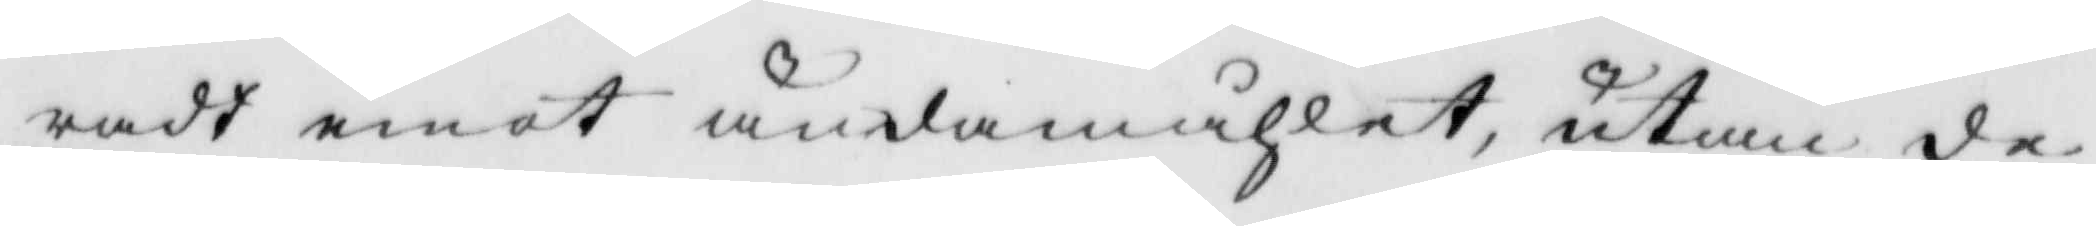radt emot ändamåhlet, utan de
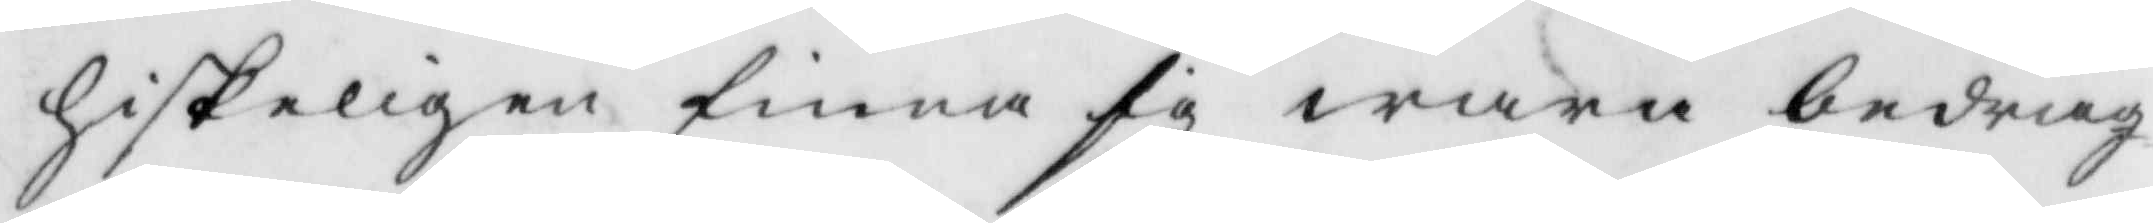hiskeligen finna sig wara bedrag¬
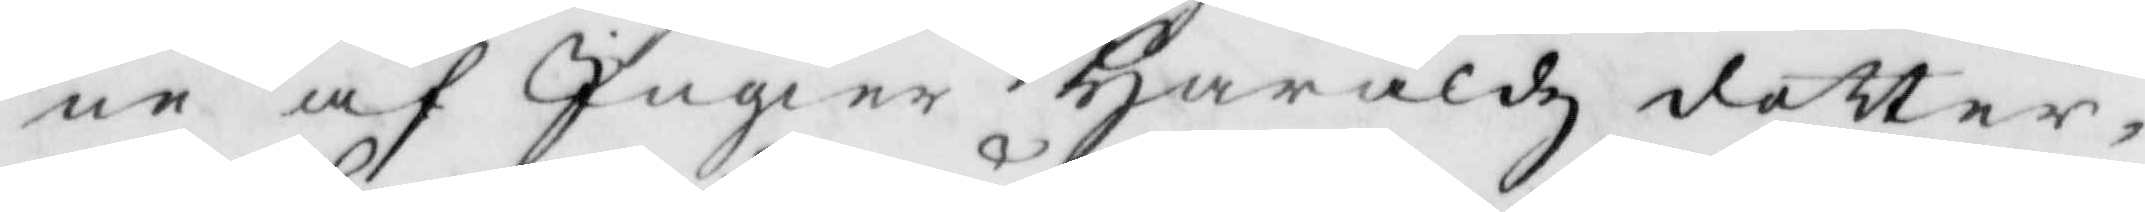ne af Ingier Haraldz dotter,
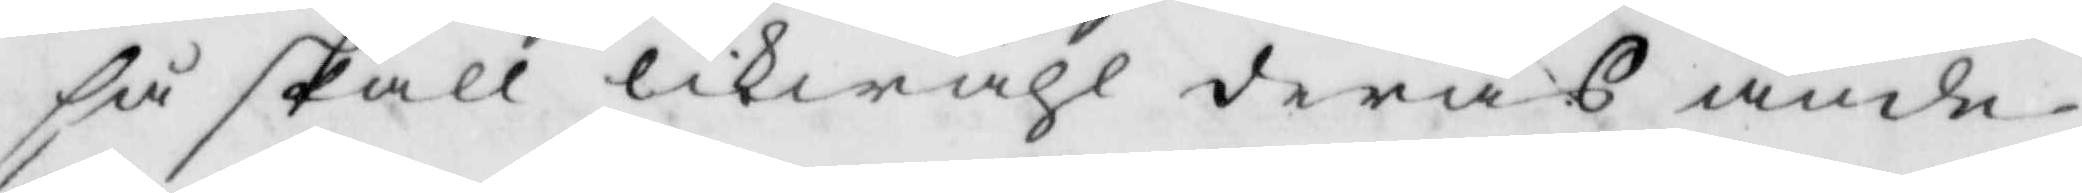så skall likwähl deras ände¬
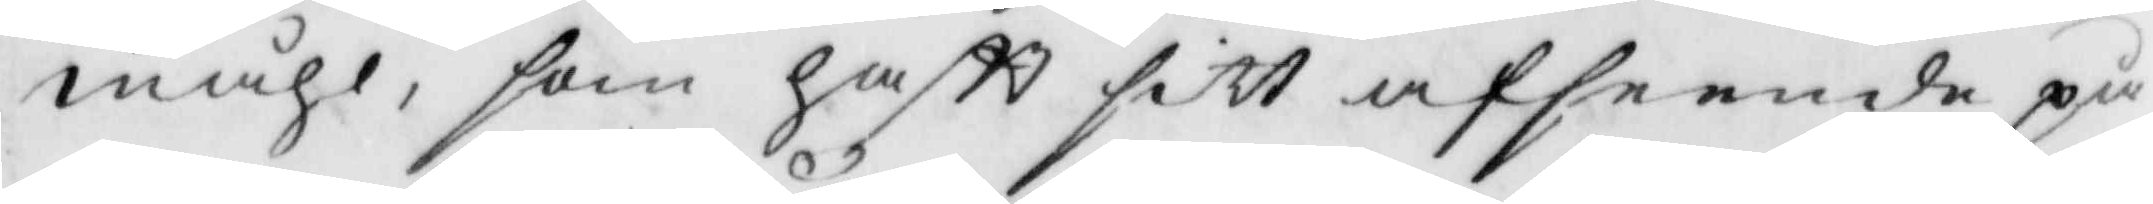måhl, som haftt sitt afseende på
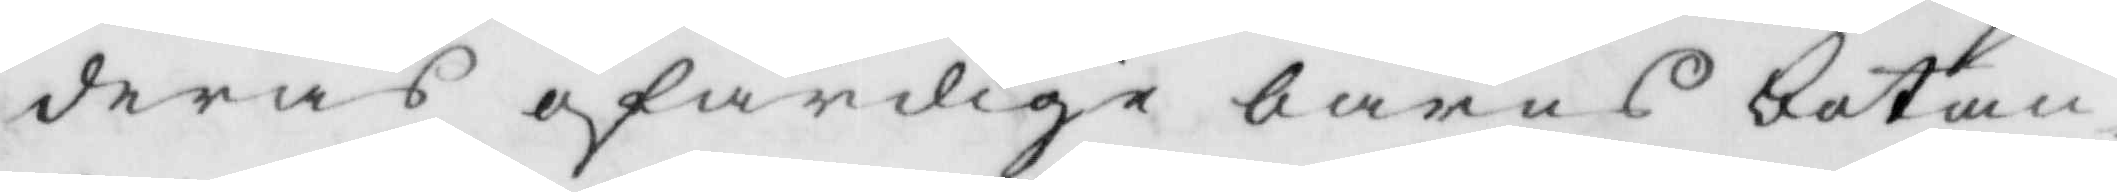deras ofärdige barns botan¬
